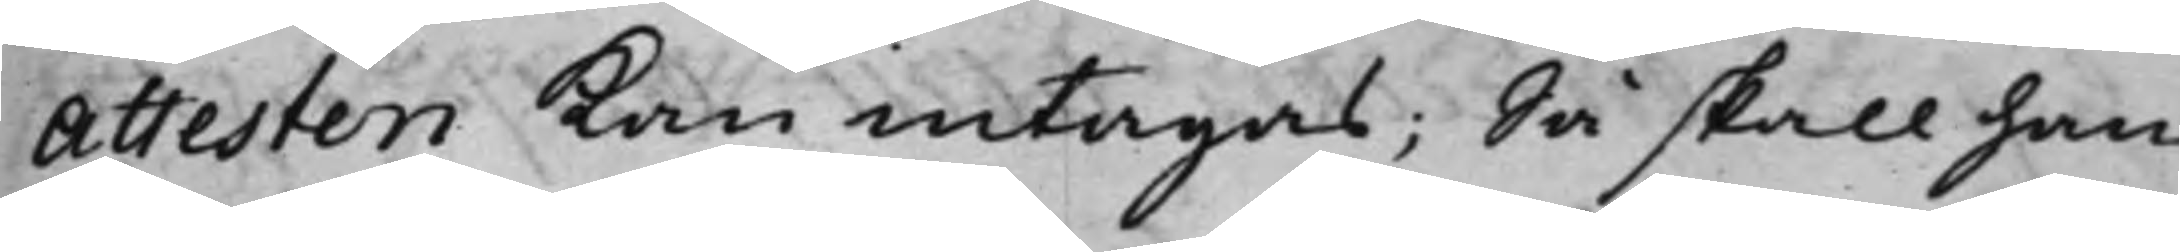Attesten kan intagas; Så skall han
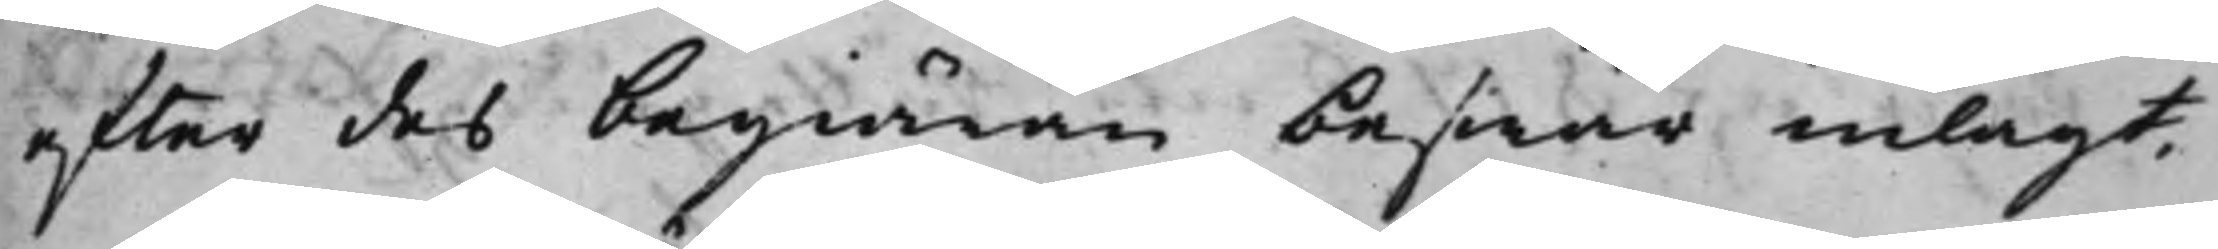efter des begiäran beswär inlagt,
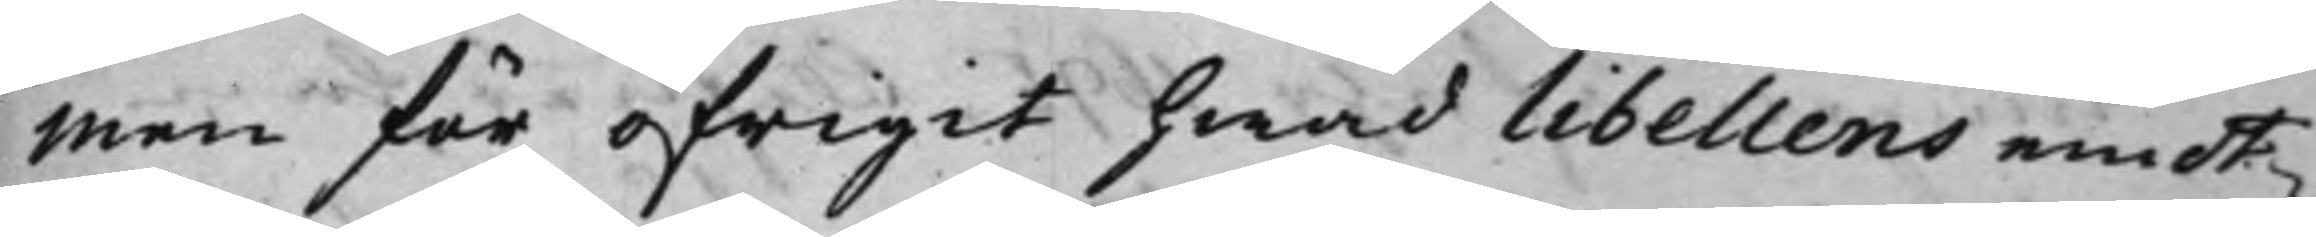men för öfrigit hwad libellens emot¬
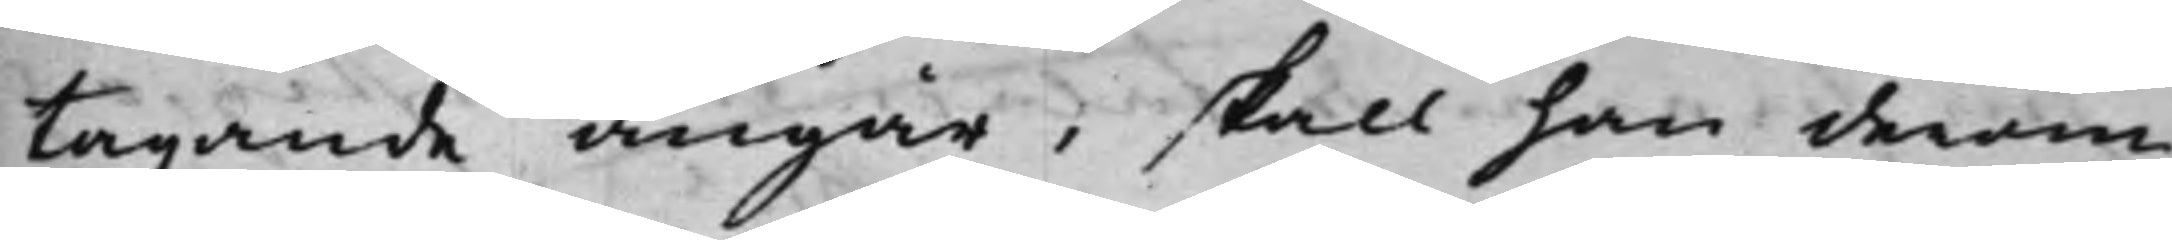tagande angår, skall han derom
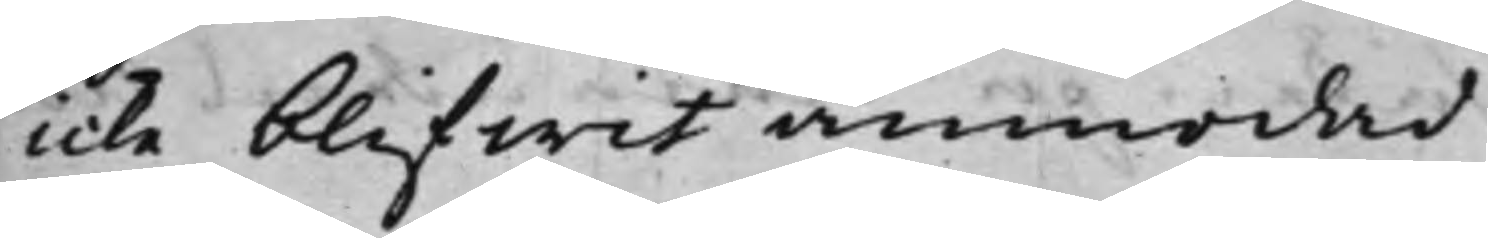icke blifwit anmodad.
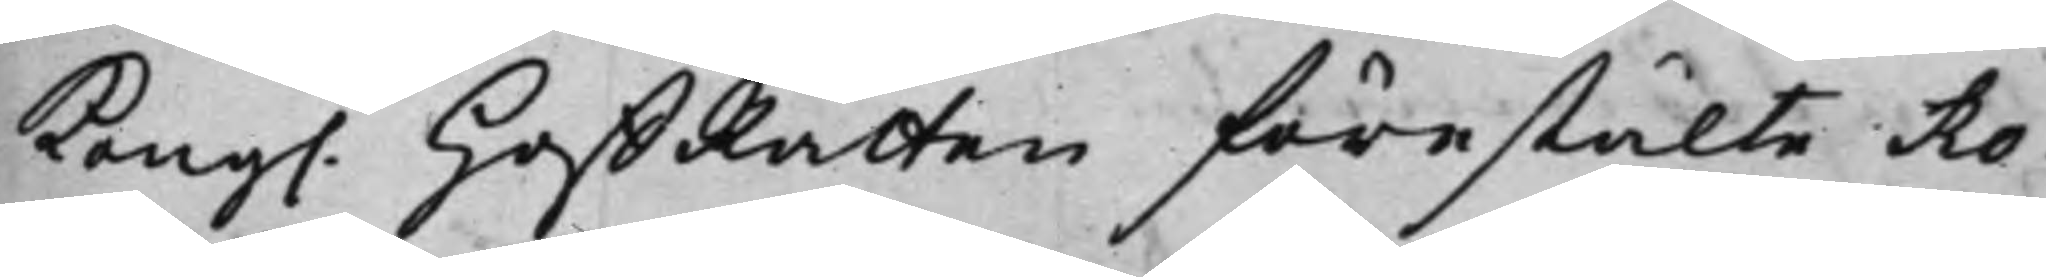Kong. HoffRätten förestälte Ro¬
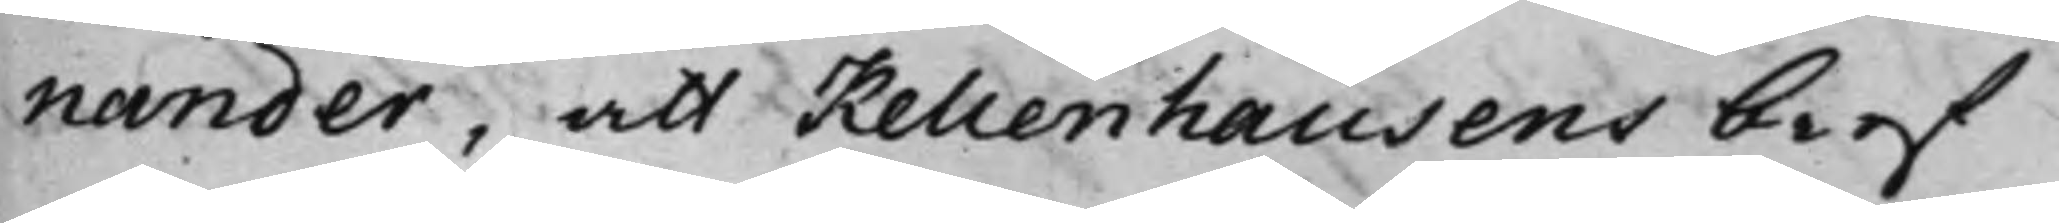nander, att Kellenhausens bref
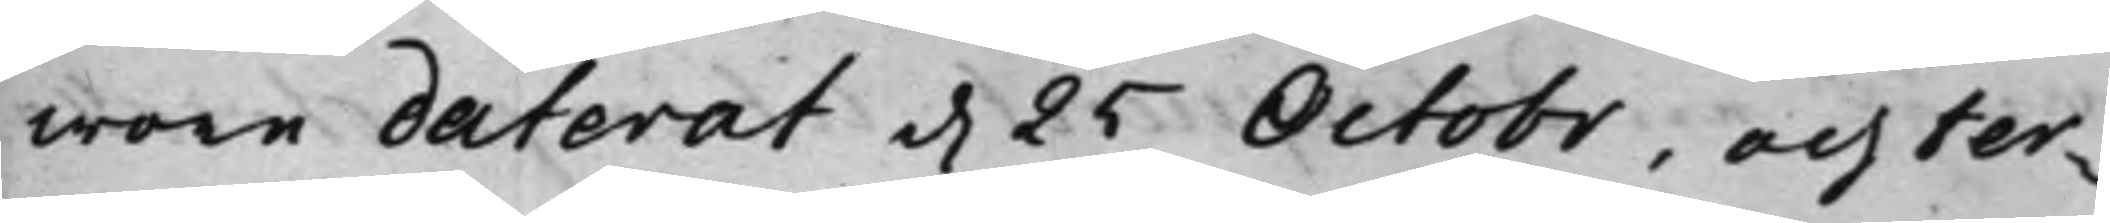wore daterat d. 25 Octobr, och ter¬
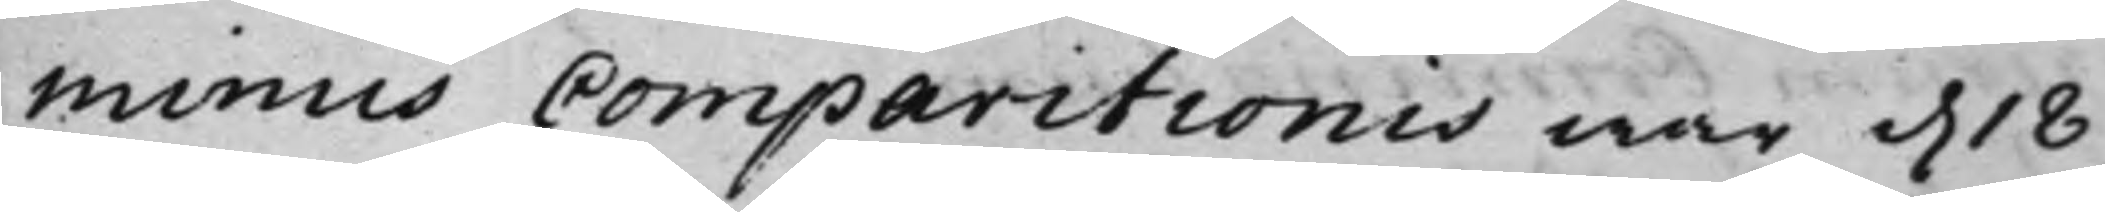minus Comparitionis war d. 18
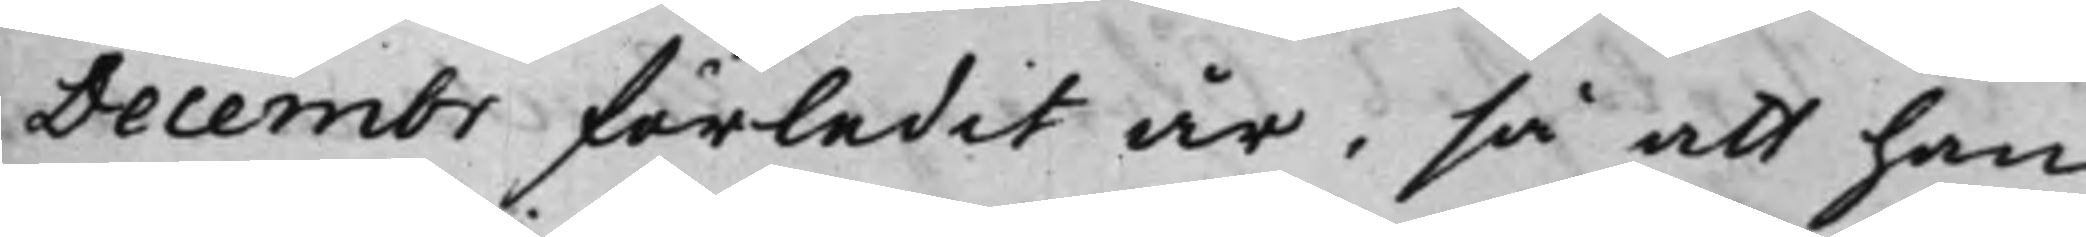Decembr förledit år, så att han
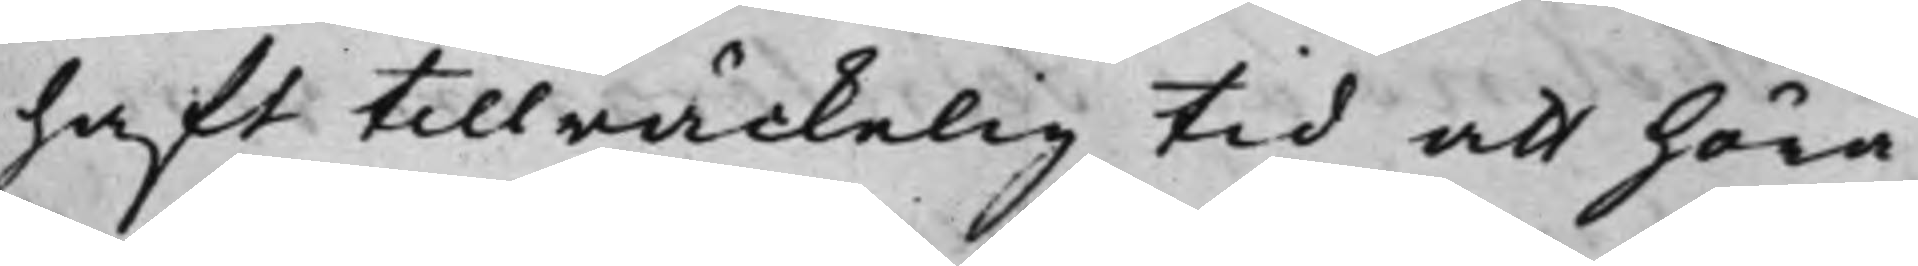haft tillräckelig tid att höra
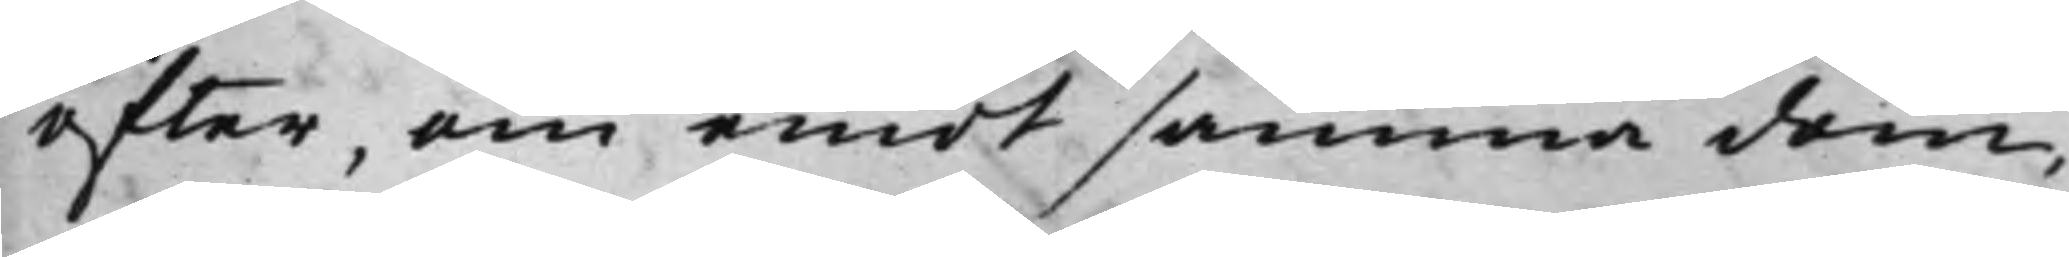efter, om emot samma dom,
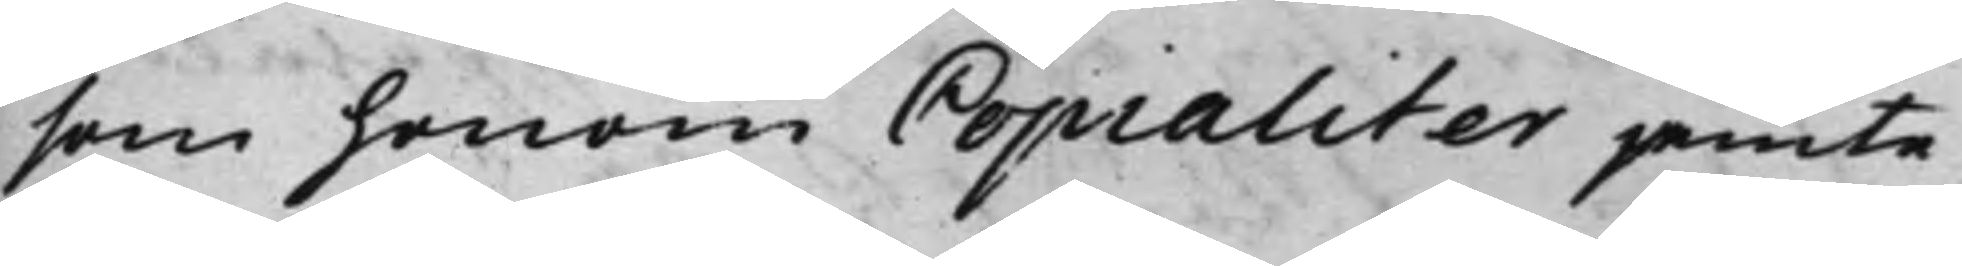som honom Copialiter jemte
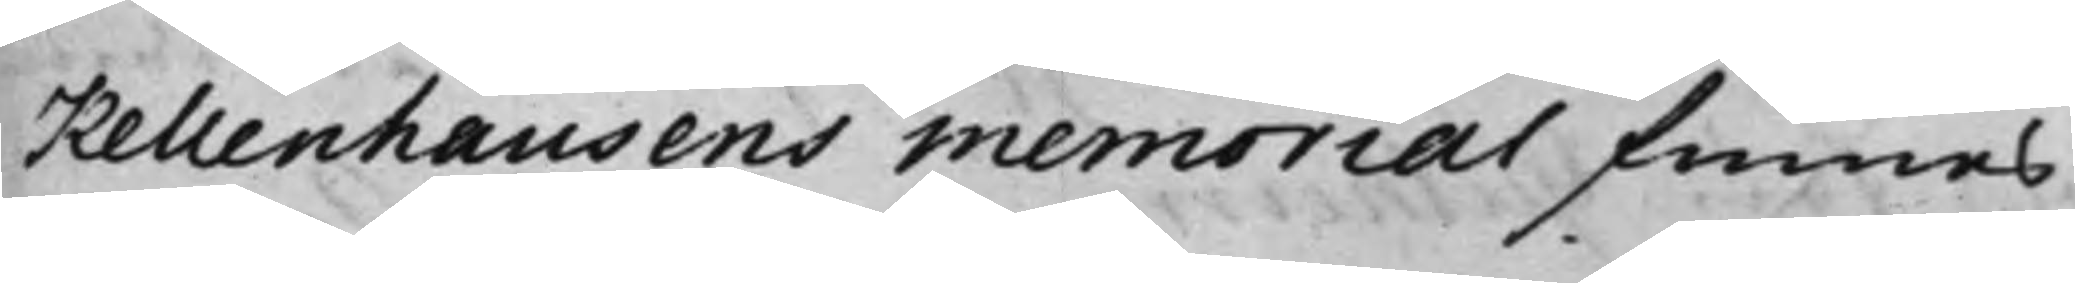Kellenhausens memorial finnes
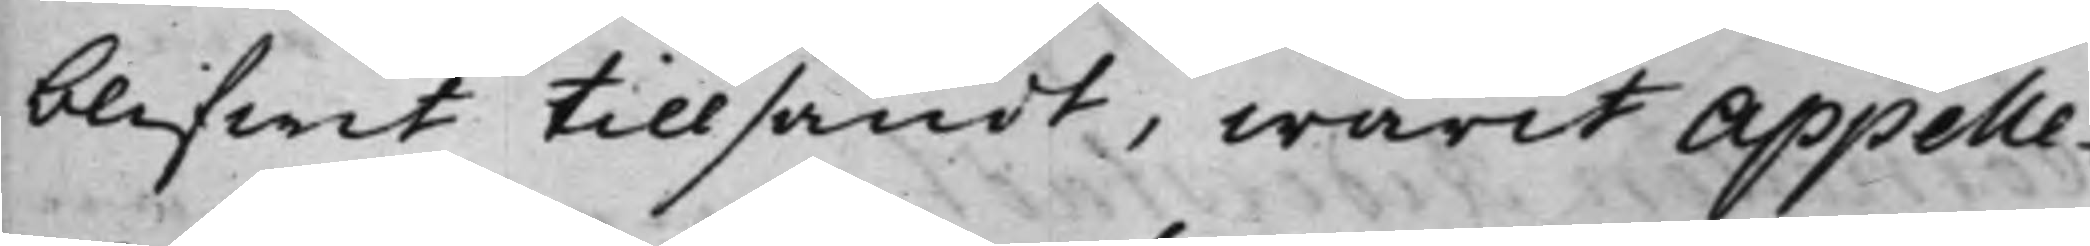blifwit tillsändt, warit appelle¬
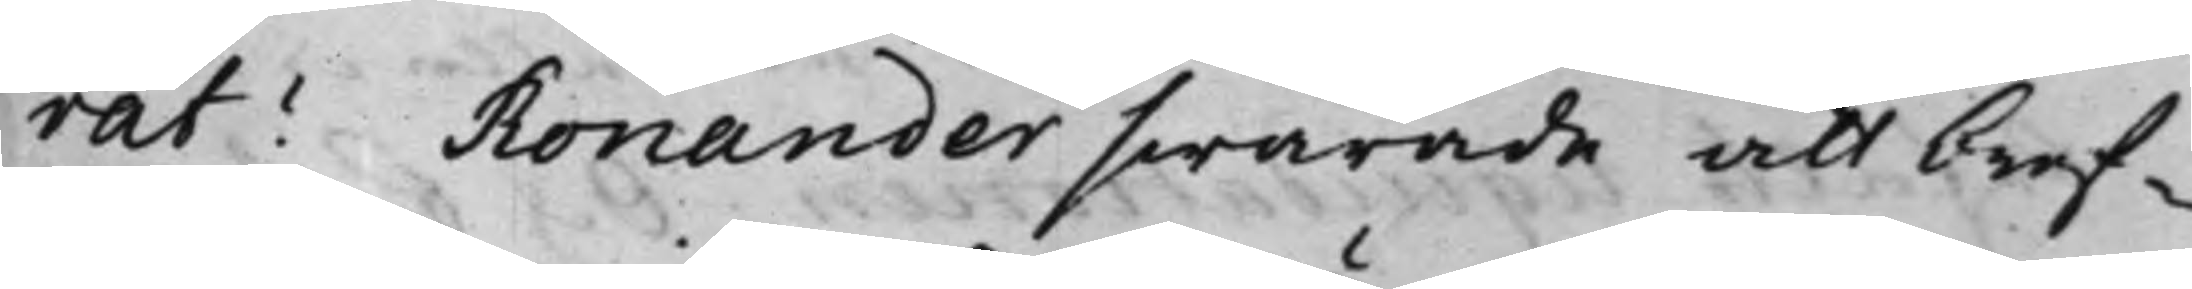rat? Ronander swarade att bref¬
